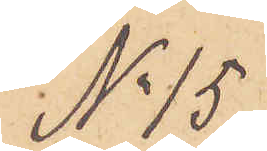No 15
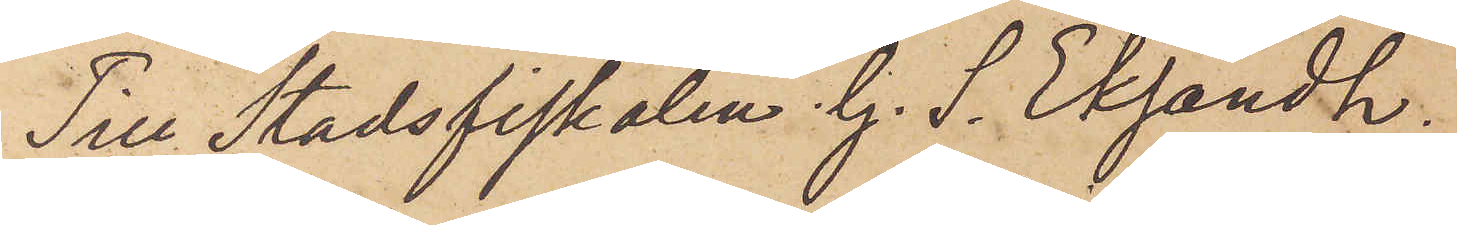Till Stadsfiskalen G. S. Eksandh.
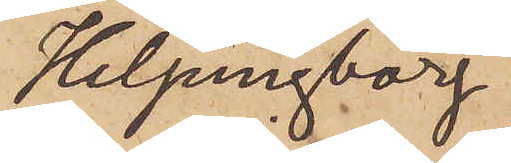Helsingborg
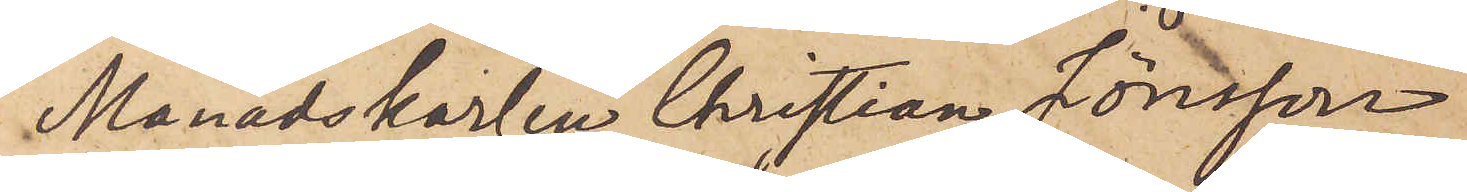Månadskarlen Christian Jönsson
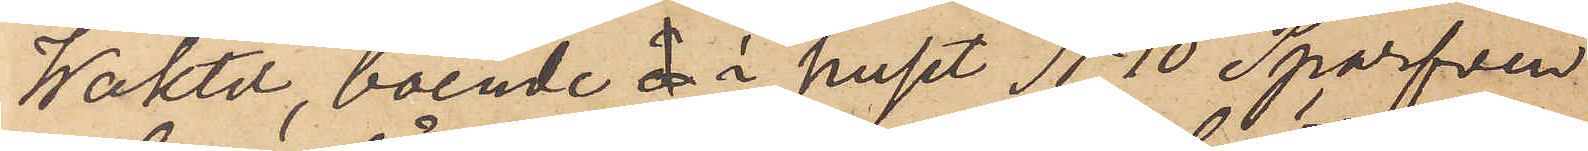Waktel, boende  i huset No 10 Sparfven
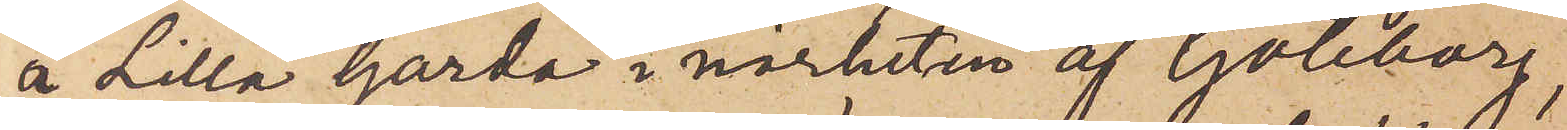å Lilla Gårda i närheten af Göteborg,
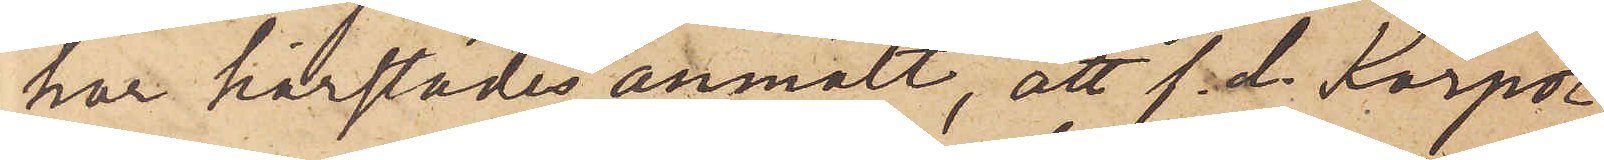har härstädes anmält, att f. d. Korpo¬
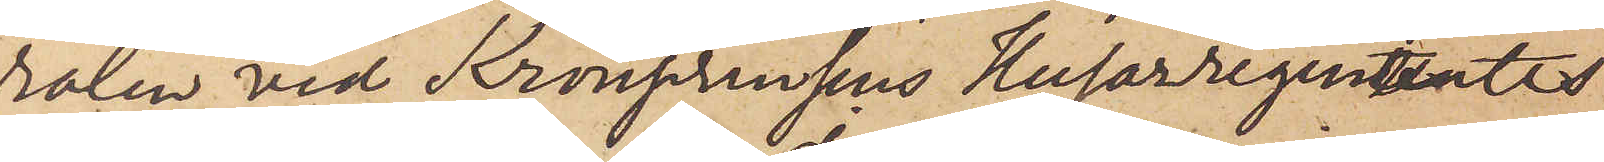ralen vid Kronprinsens Husarregementes
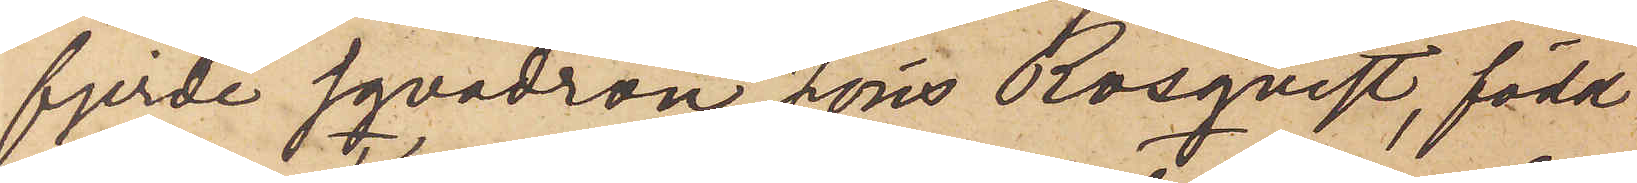fjerde sqvadron Jöns Rosquist, född
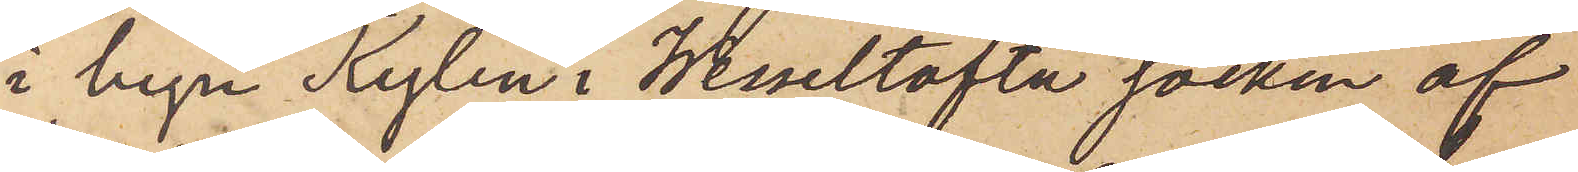i byn Kylen i Wesseltofta socken af
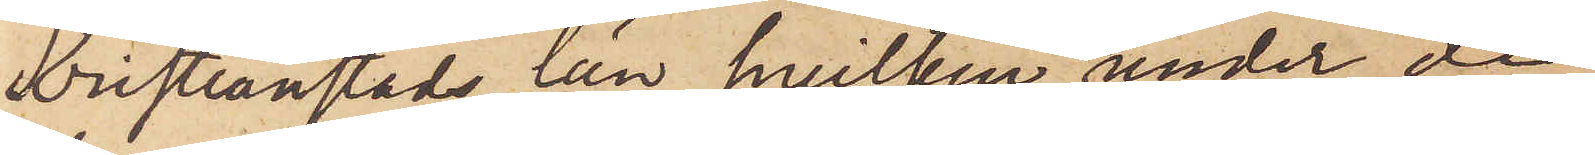Kristianstads län, hvilken under de
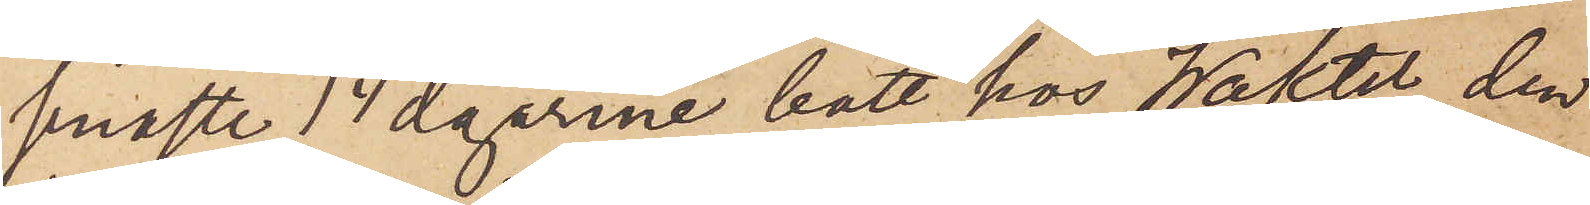senaste 14 dagarne bott hos Waktel, den
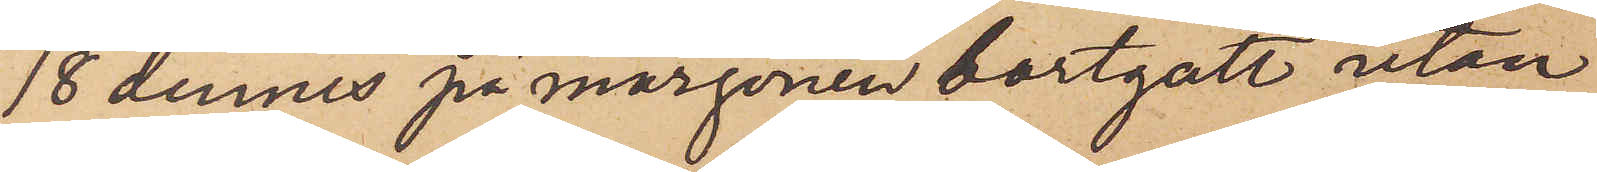18 dennes på morgonen bortgått utan
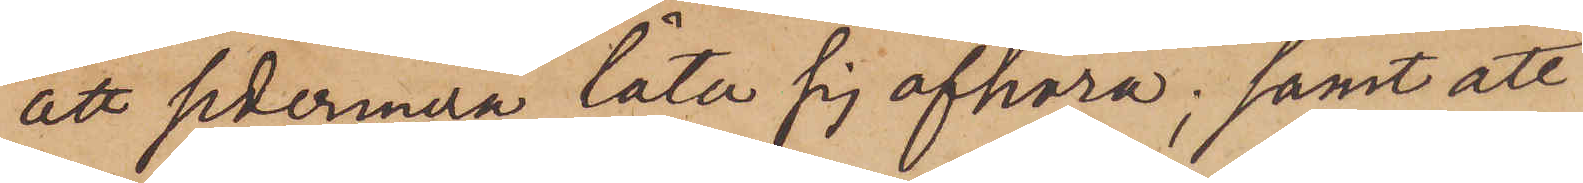att sedermera låta sig afhöra; samt att
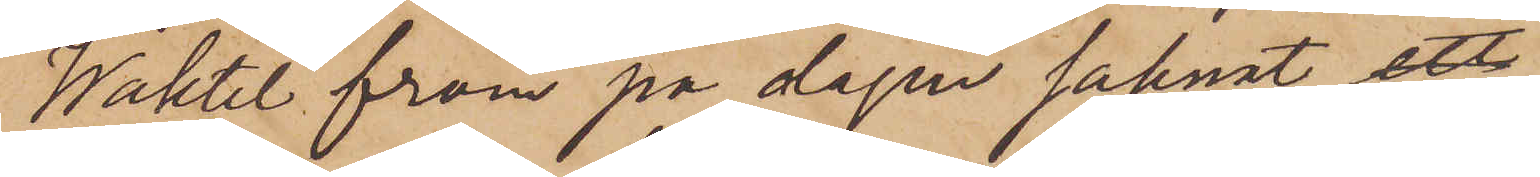Waktel fram på dagen saknat 
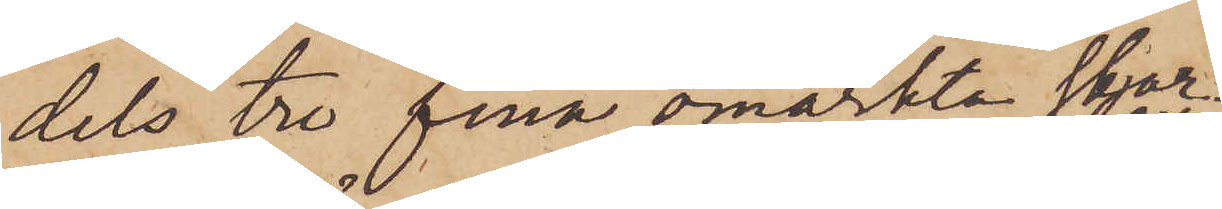dels tre fina omärkta skjor¬
